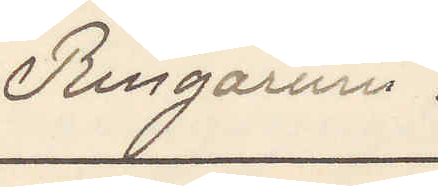Ringarum.
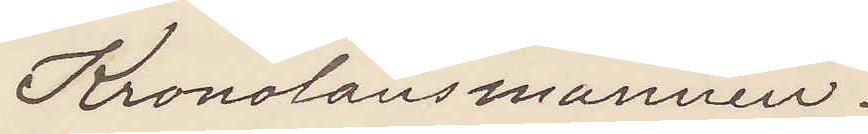Kronolänsmannen.
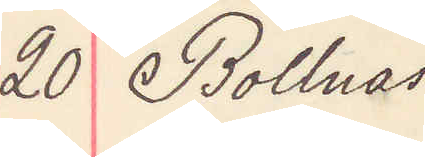20 Bollnäs
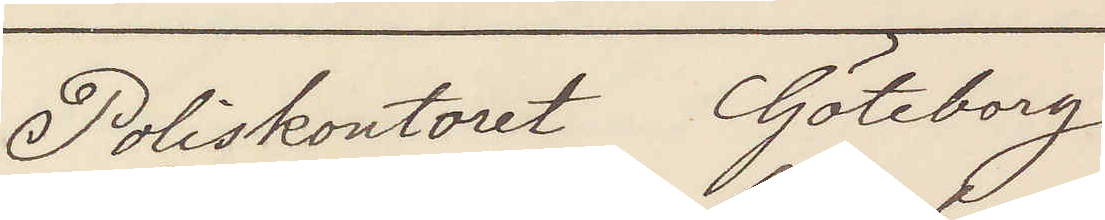Poliskontoret Göteborg
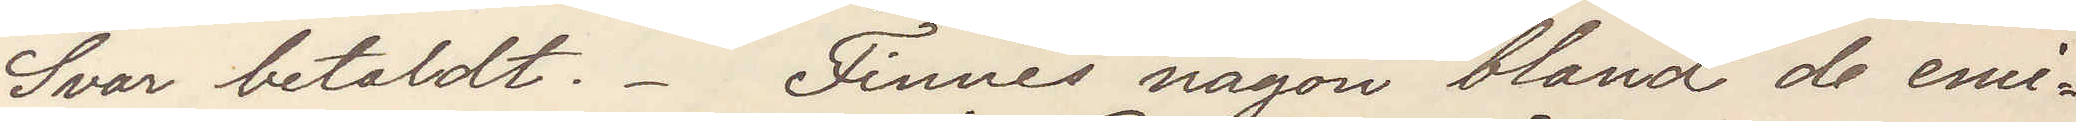Svar betaldt. Finnes någon bland de emi¬
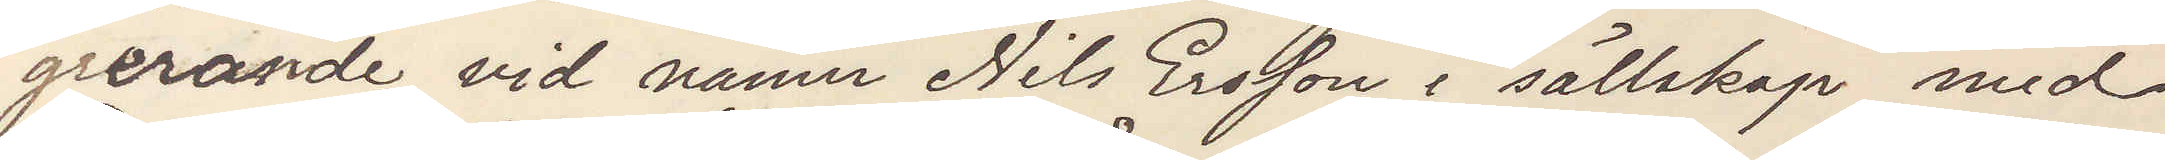grerande vid namn Nils Ersson i sällskap med
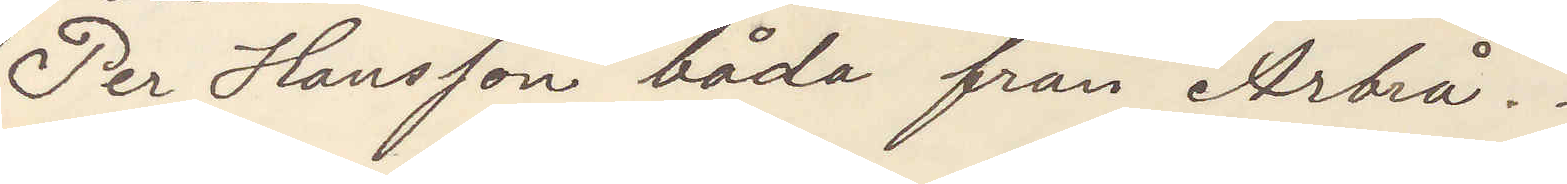Per Hansson båda från Arbrå.
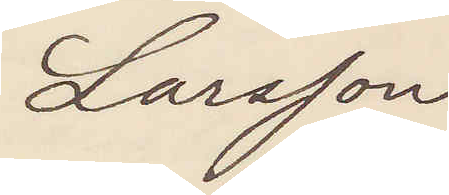Larsson
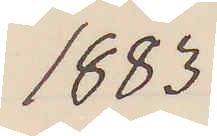1883
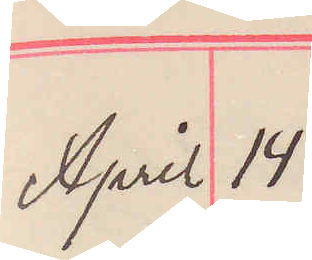April 14
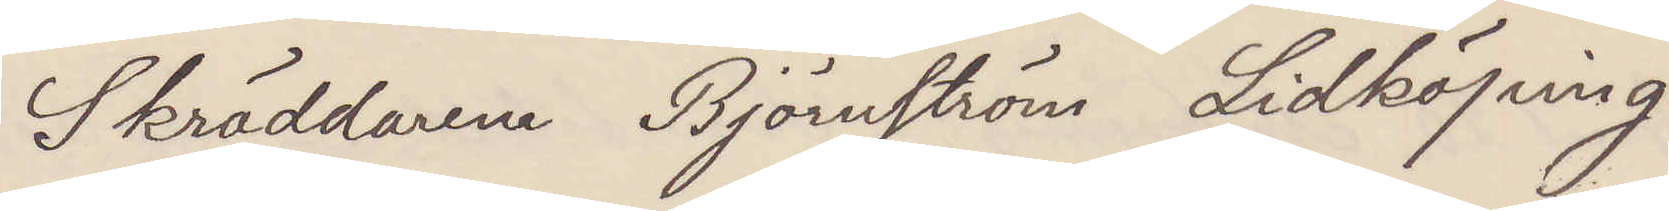Skräddaren Björnström Lidköping
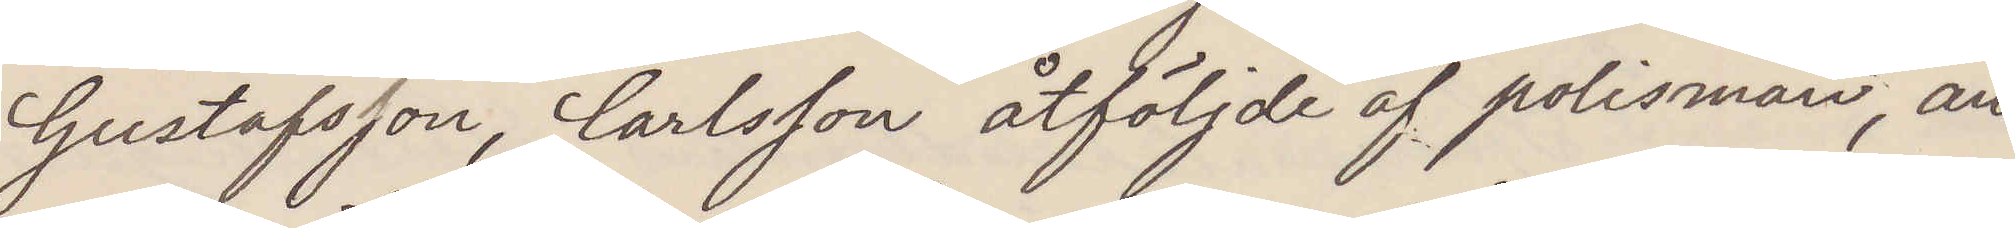Gustafssson, Carlsson åtföljde af polisman, an¬
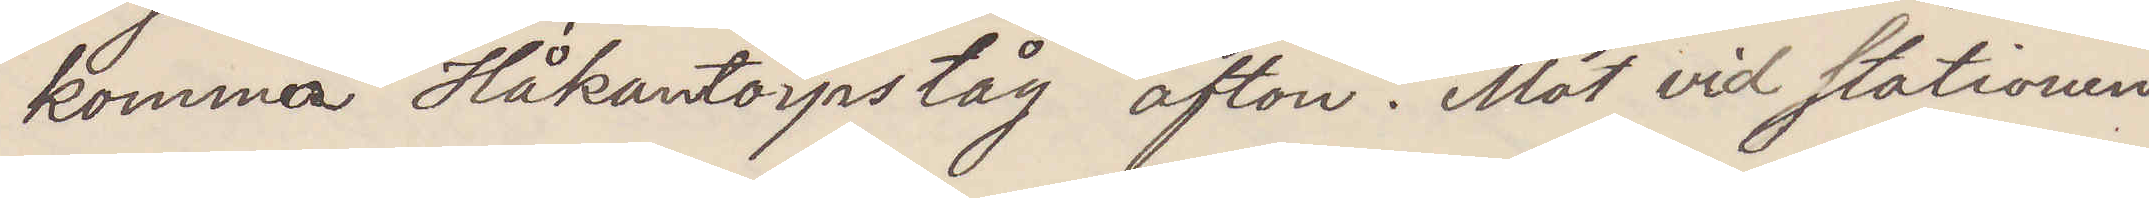komma Håkanstorpståg afton. Möt vid stationen.
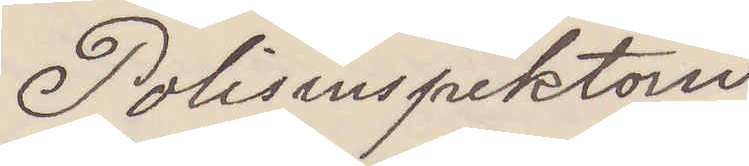Polisinspektorn
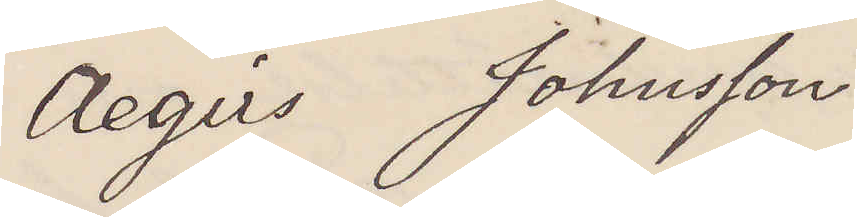Aegirs Johnsson
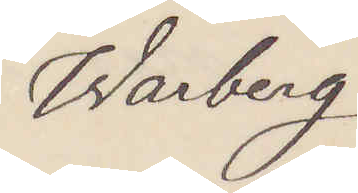Warberg
